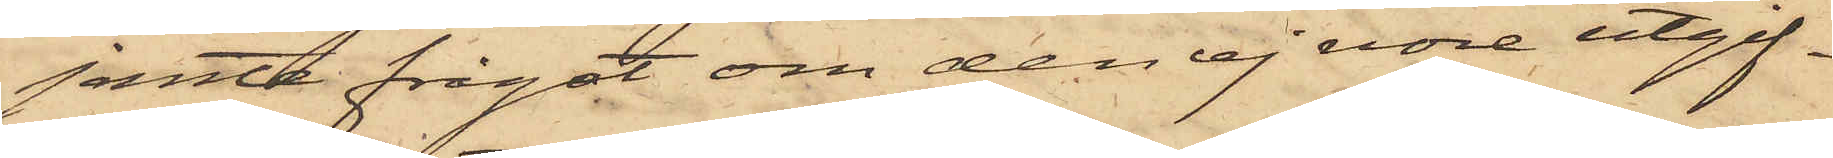jemte frågat om den ej vore utgif¬
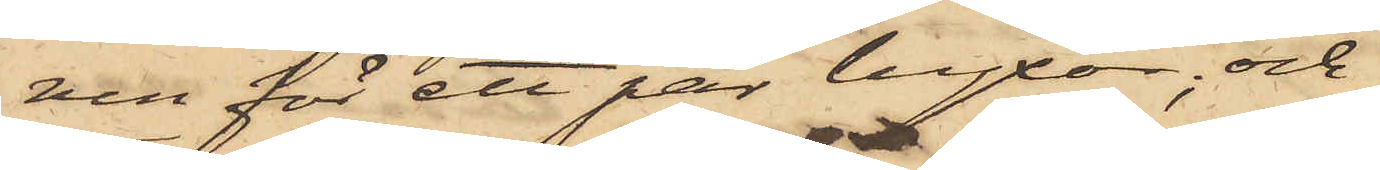ven för ett par byxor; och
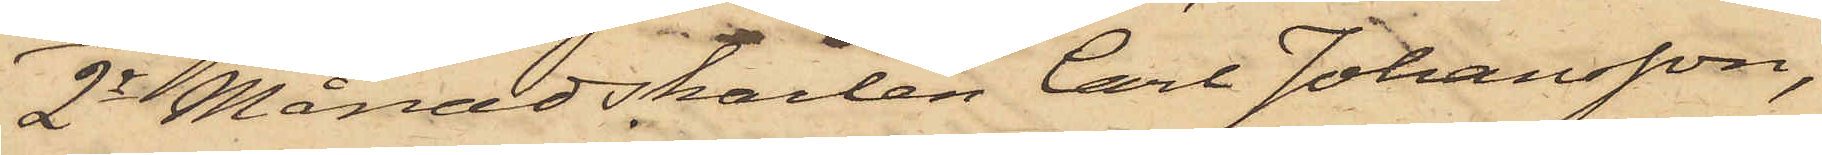2o Månadskarlen Carl Johansson,
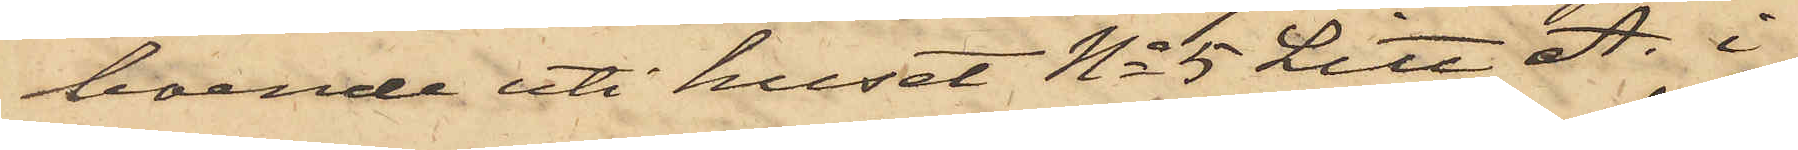boende uti huset No 5 Litt. A. i
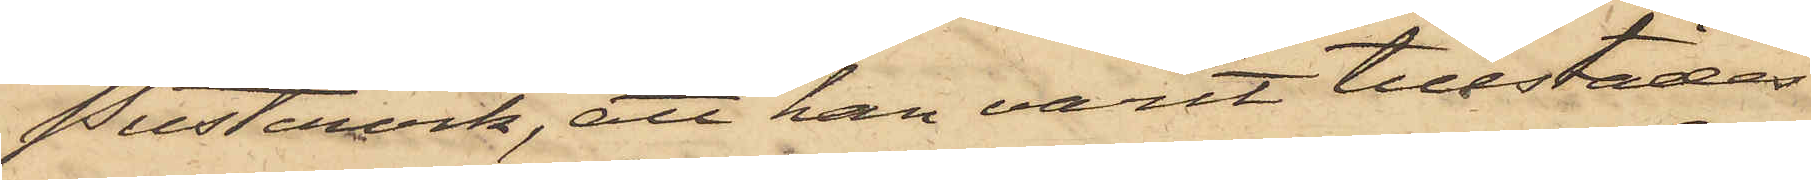Pustervik, att han varit tillstädes
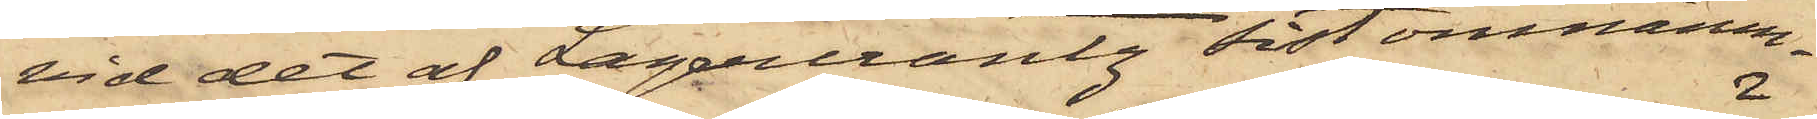vid det af Lagercrantz sistomnämn¬
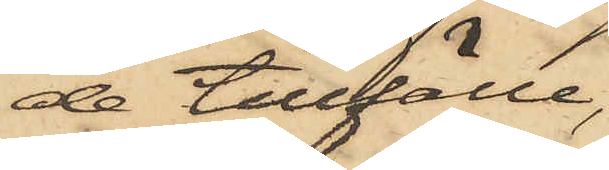de tillfälle,
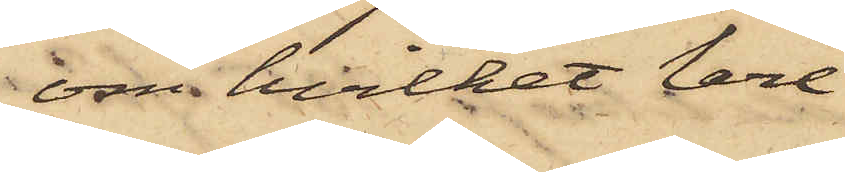om hvilket Carl
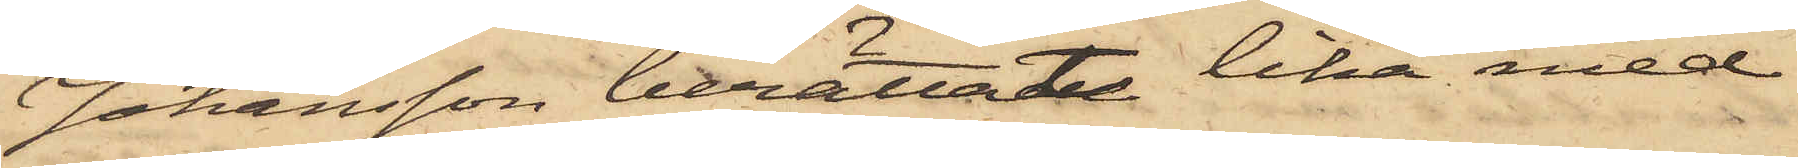Johansson berättade lika med
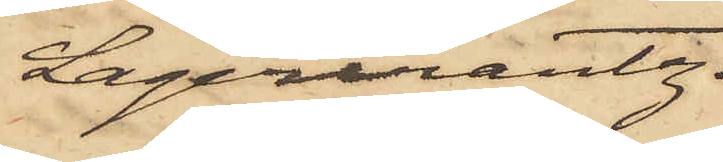Lagercrantz.
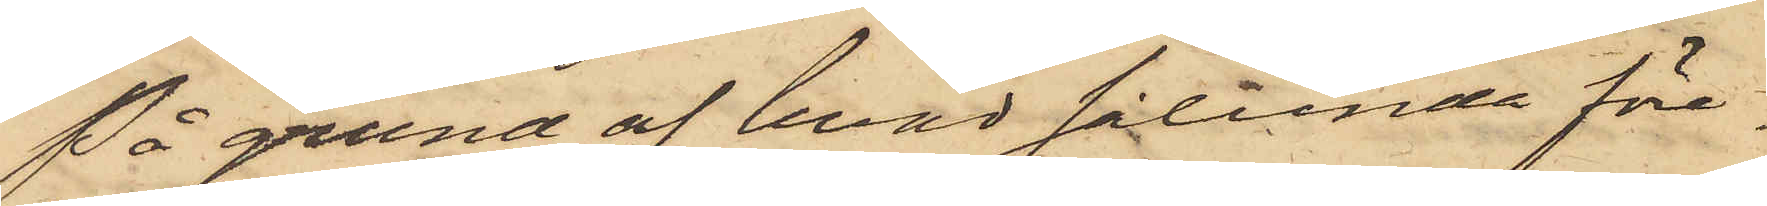På grund af hvad sålunda före¬
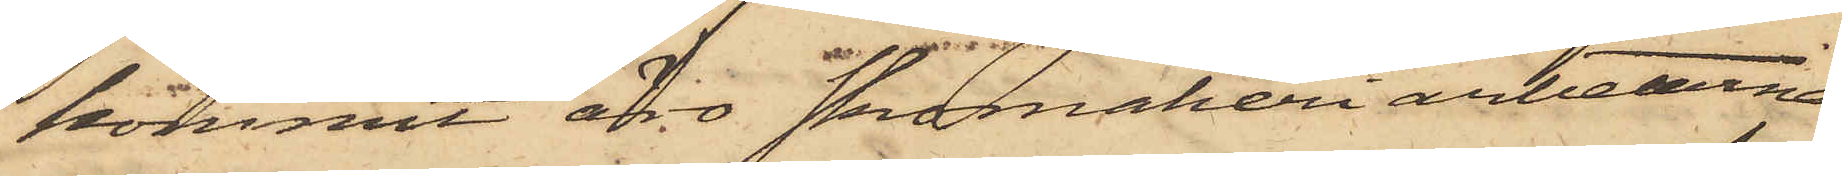kommit äro skomakeriarbetarne
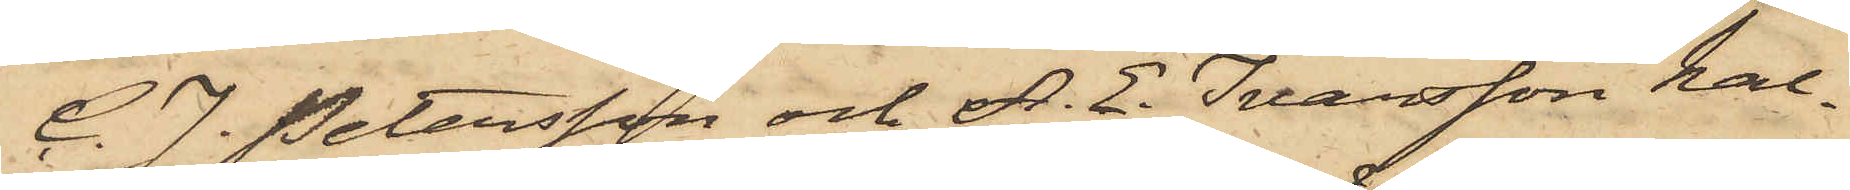C. J. Petersson och A. E. Ivarsson kal¬
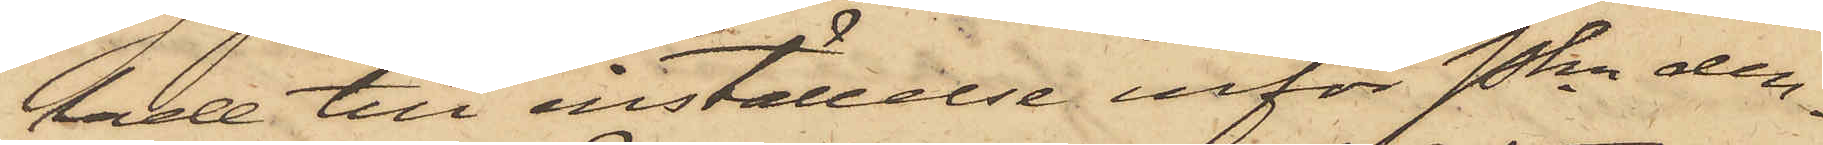lade till inställelse inför Pkn den¬
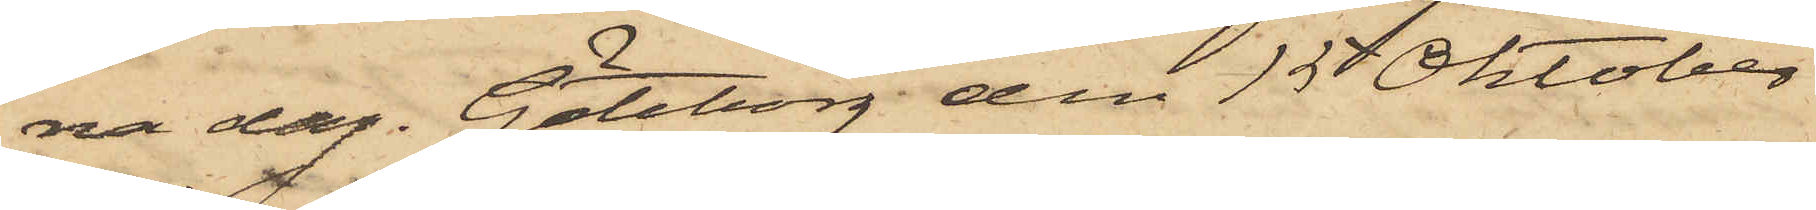na dag. Göteborg den 15 Oktober
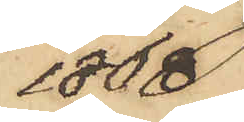1868
